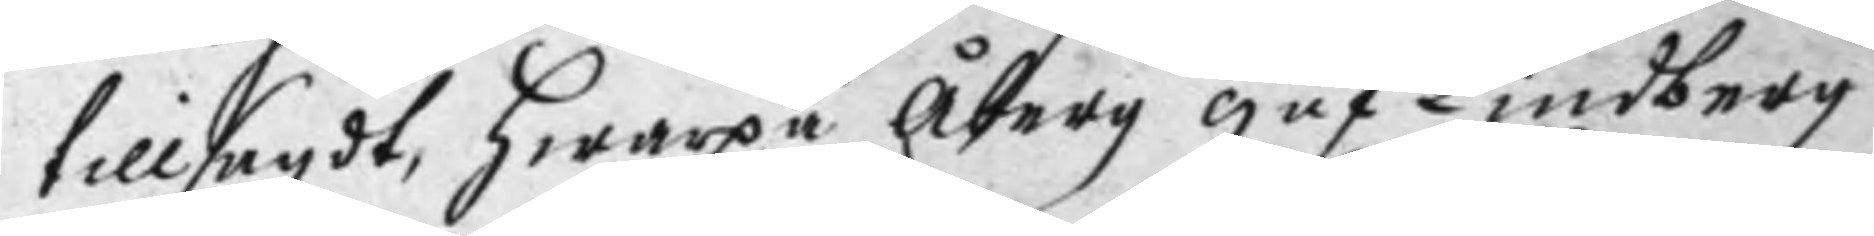tillsagdt, hwarpå Åberg gåf Lindberg
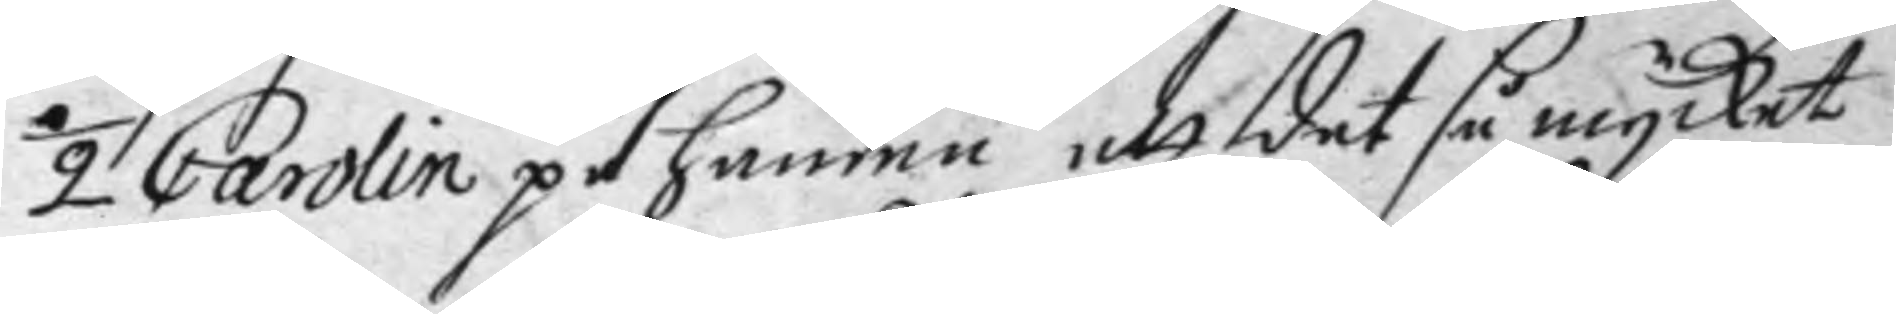½ Carolin på handen att det så mycket
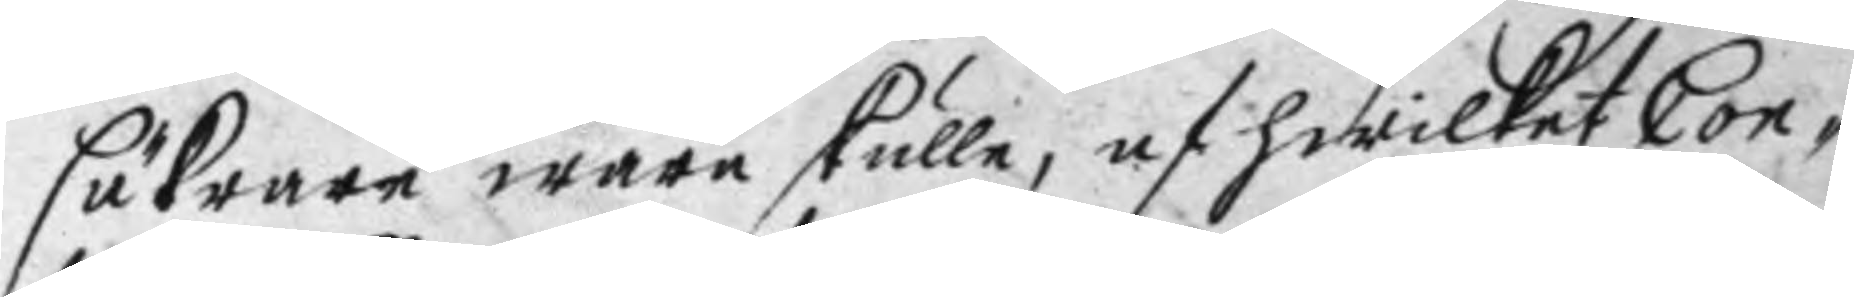säkrare wara skulle, af hwilket Con¬
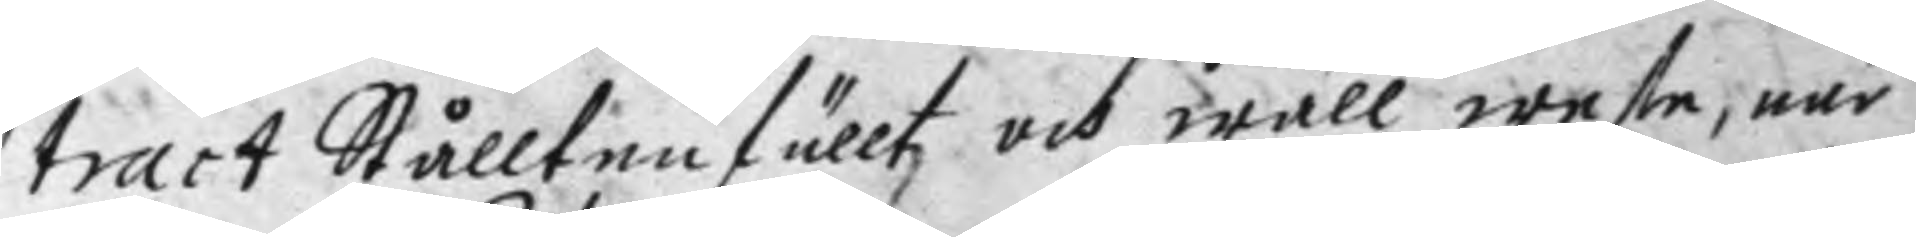tract Stålltenfälltz och wäll wete, när
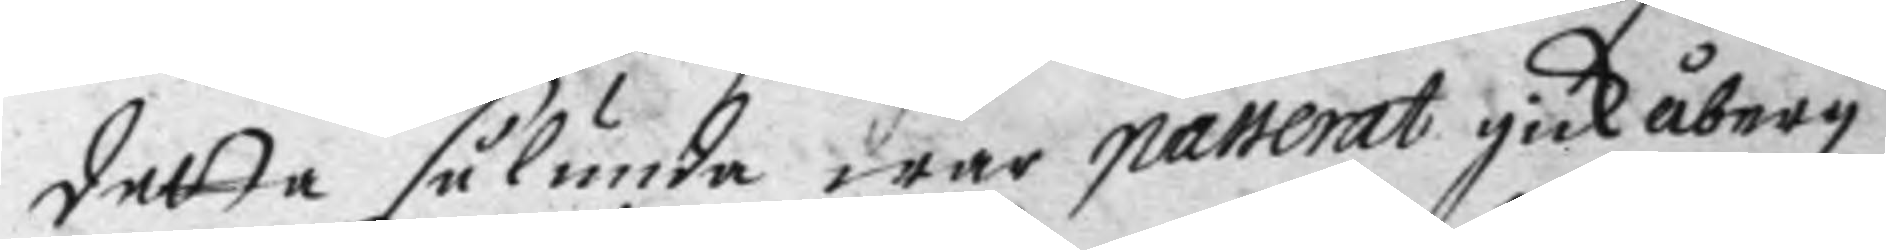detta sålunda war passerat gick åberg
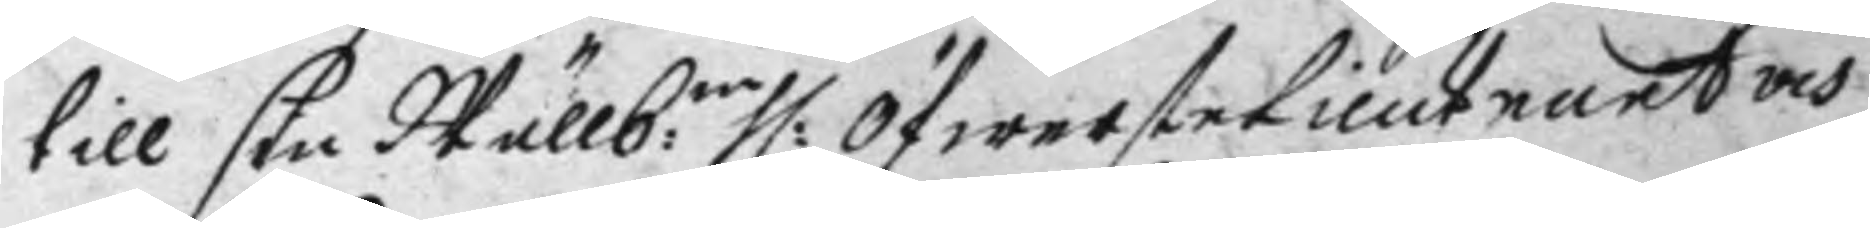till sin Wällb:ne H: ÖfwersteLieutnant och
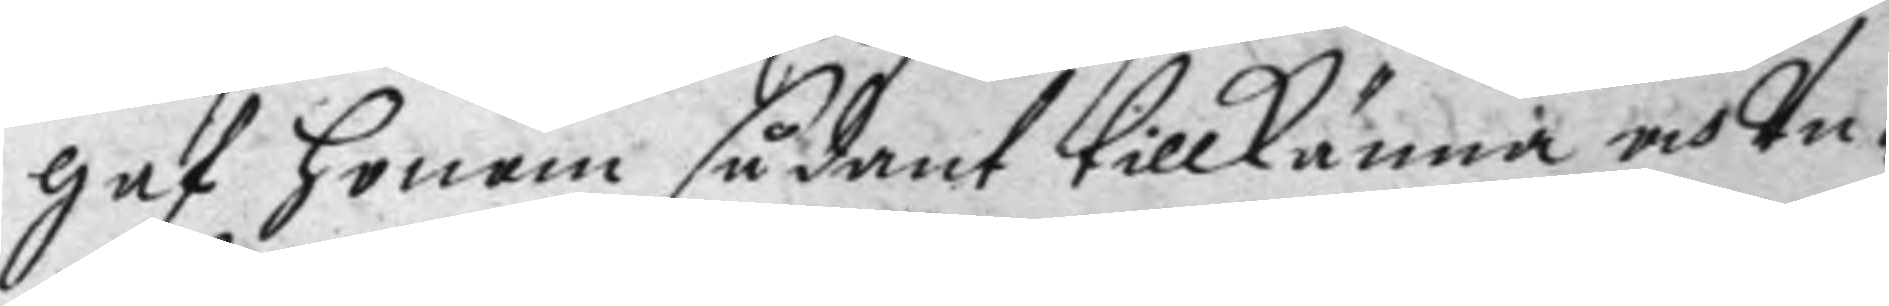gaf honom sådant tillkänna och Un¬
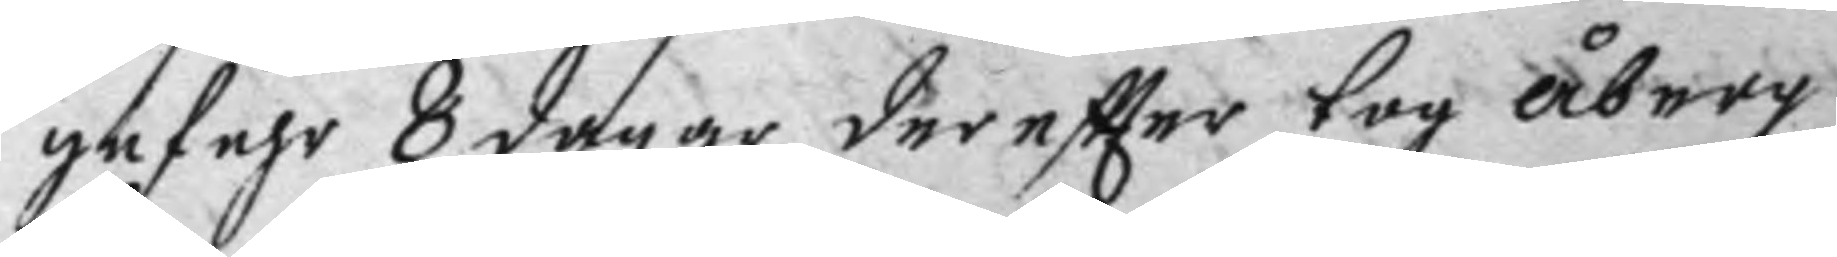gefehr 8 dagar dereftter tog åberg
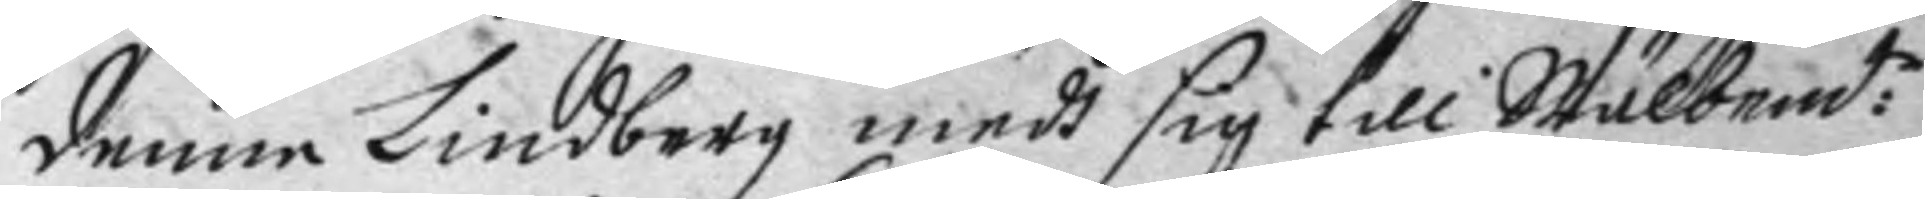denne Lindberg medh sig till Wälbend:e
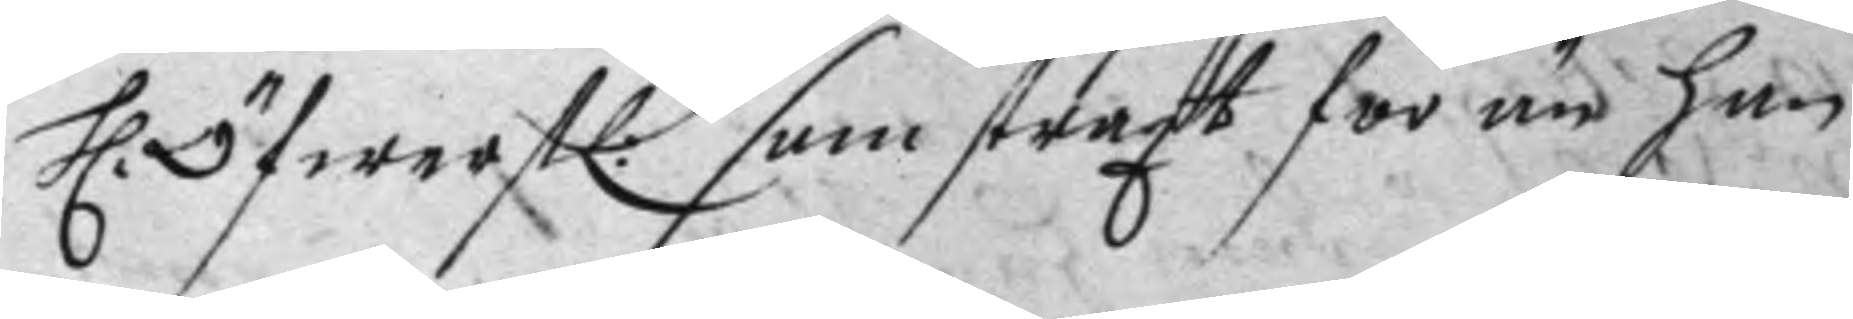H: Öfwerstl: som straxt för än han
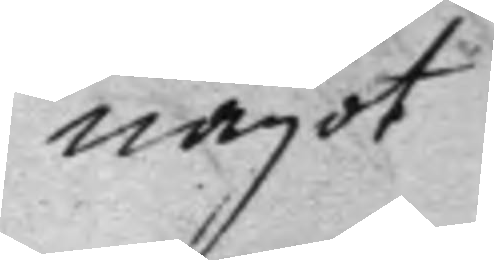något
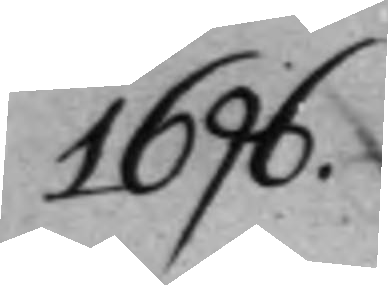1696.
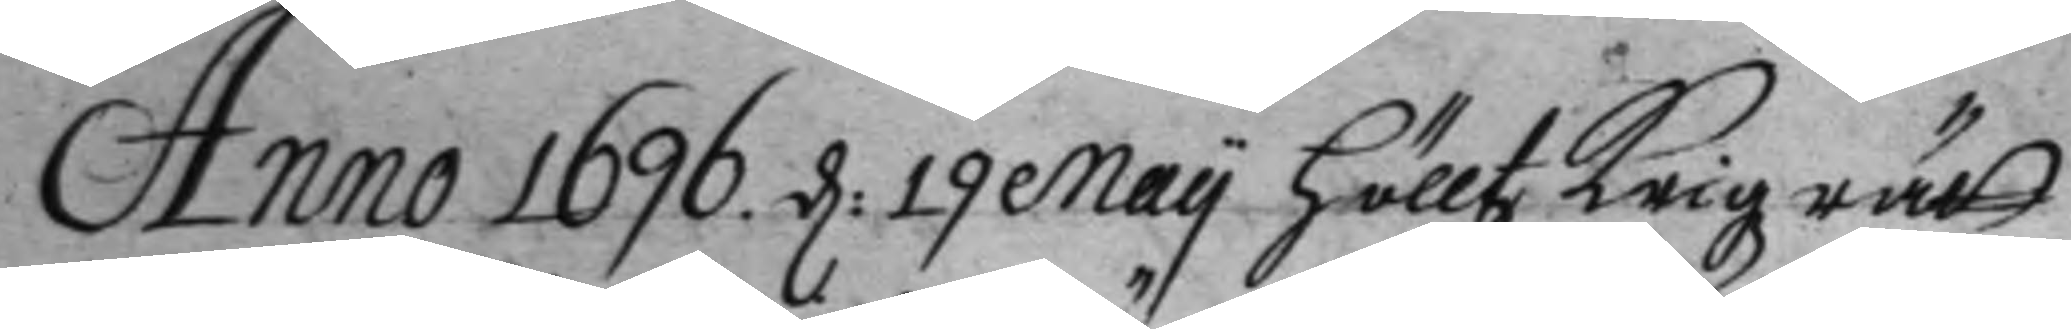Anno 1696. d: 19 May hölltz Krigzrätt
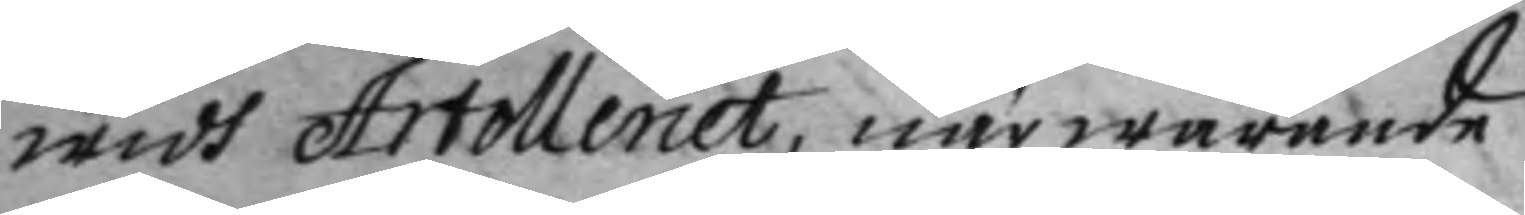widh Artolleriet, närwarande
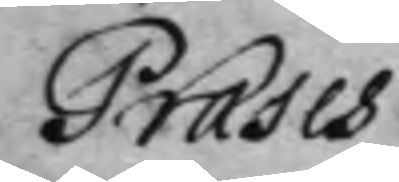Præses
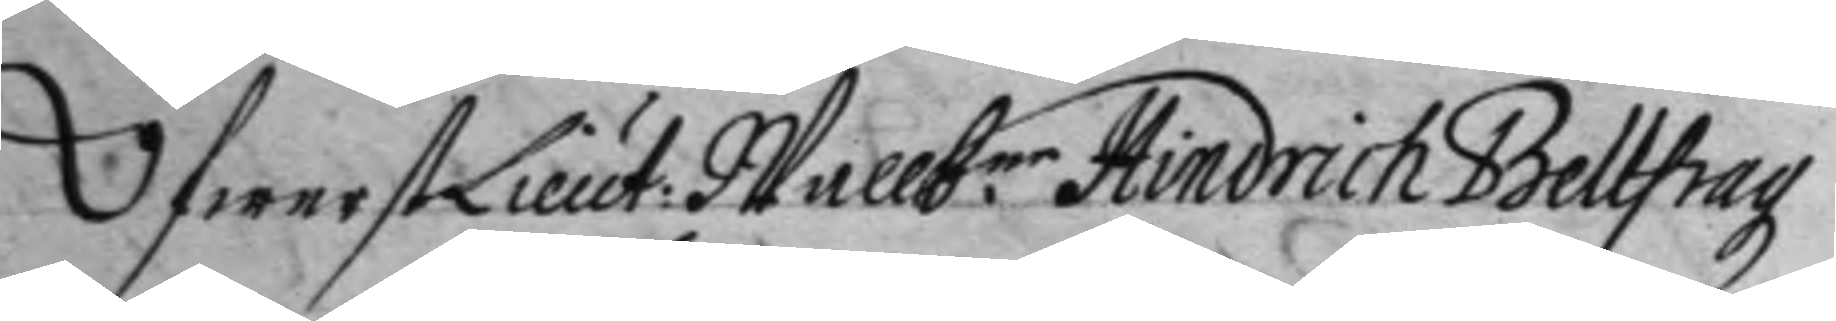ÖfwerstLieut: Wallb.ne Hindrich Beltfrag
